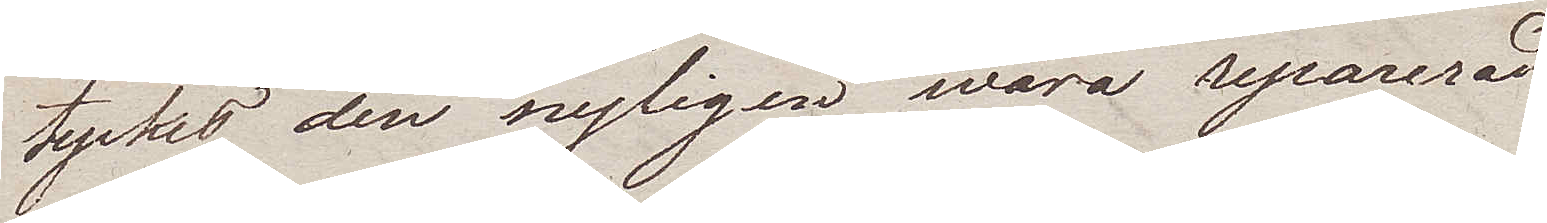tyckes den nyligen wara reparerad.
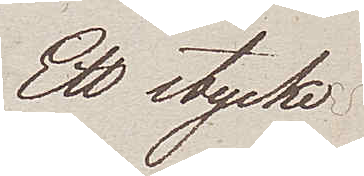Ett stycke
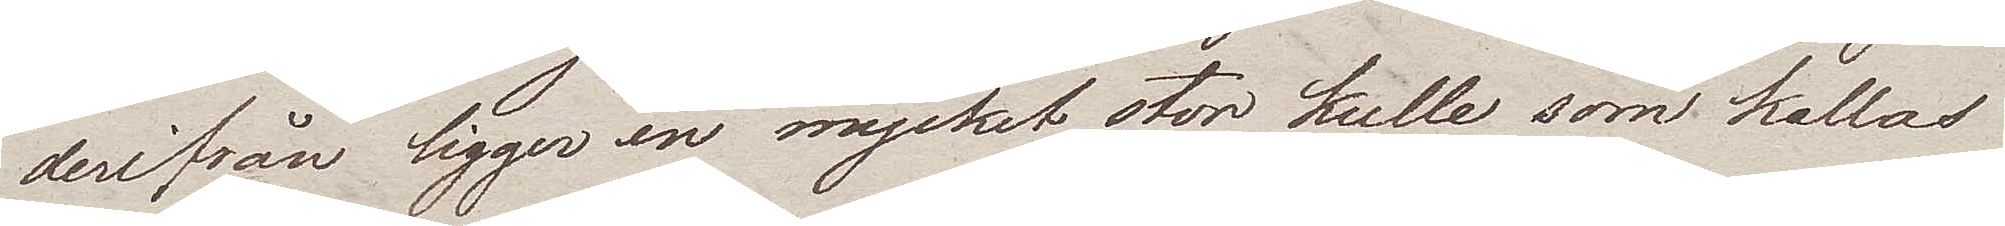derifrån ligger en mycket stor kulle som kallas
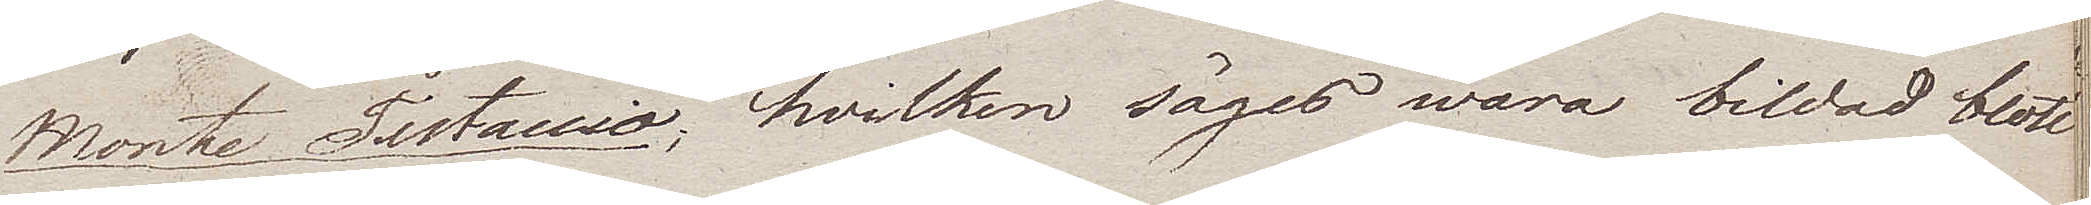Monte Testaccio; hvilken säges wara bildad blott
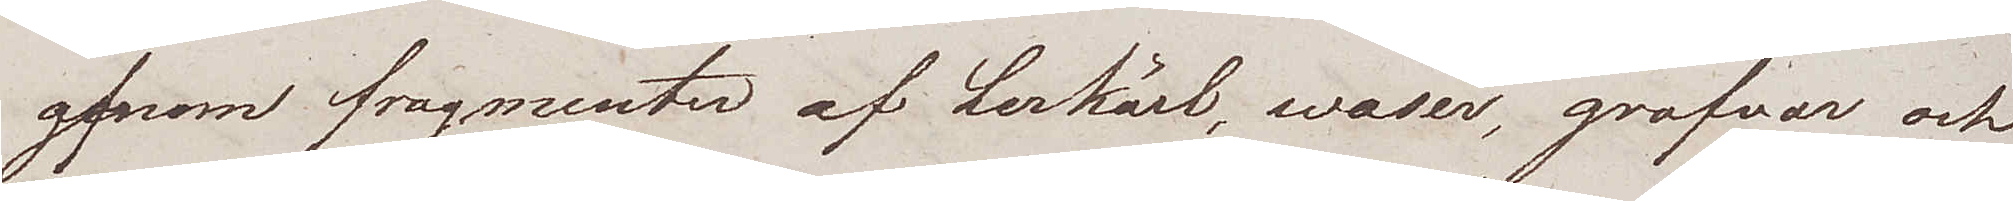genom fragmenter af Lerkärl, waser, grafvar och
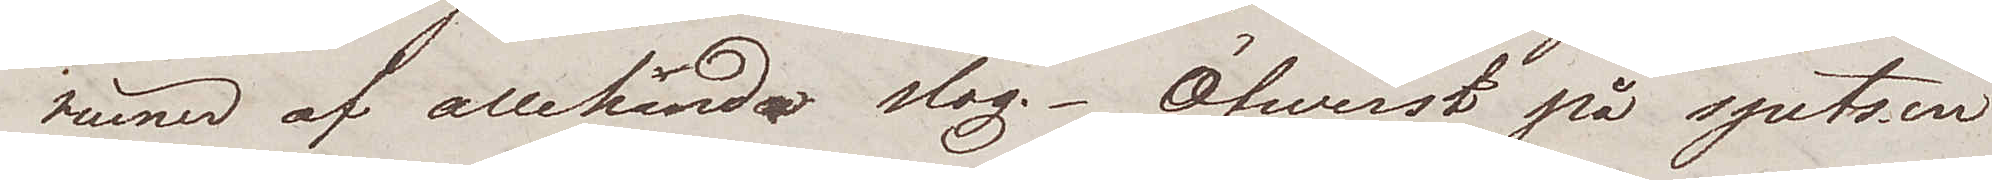ruiner af allehanda slag. Öfwerst på spetsen
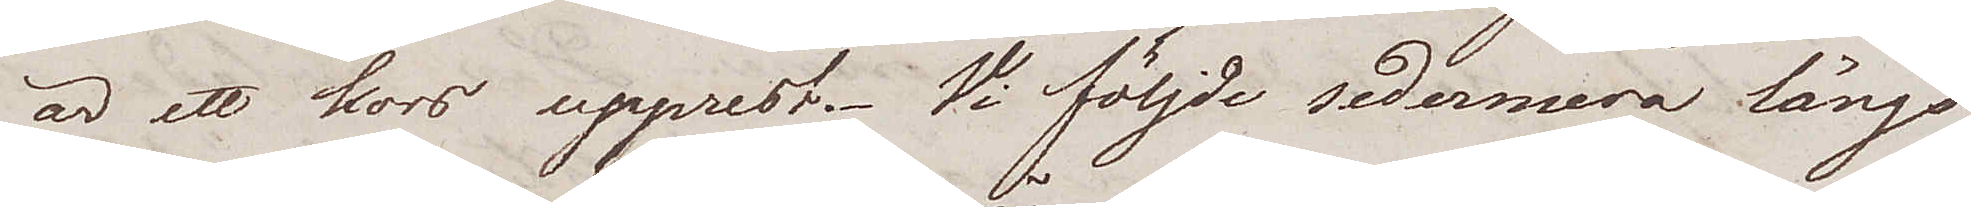är ett kors upprest. Vi följde sedermera längs
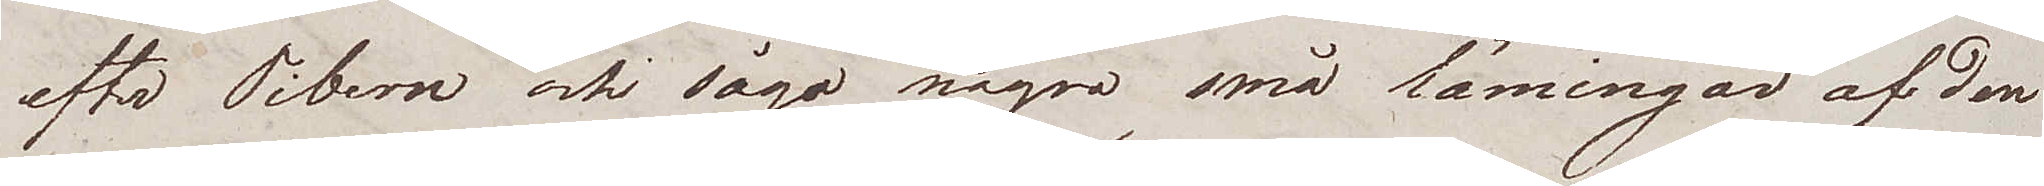efter Tibern och sågo några små lämingar af den
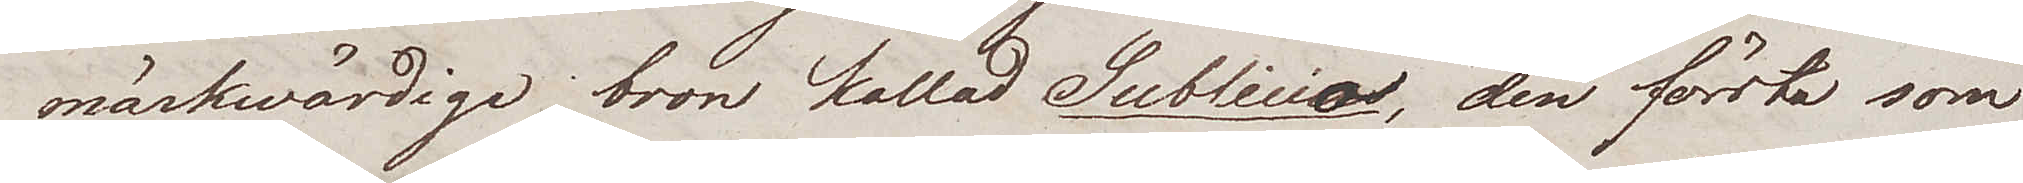märkwärdiga bron kallad Sublicio, den första som
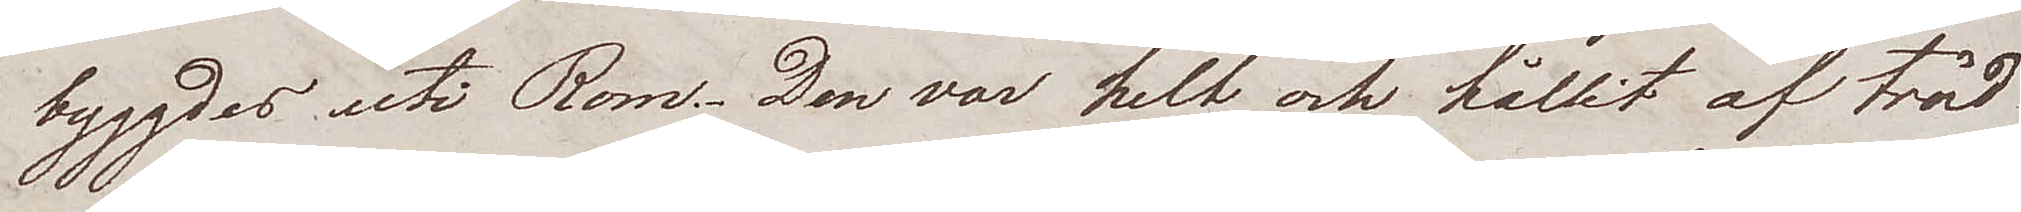byggdes uti Rom. Den var helt och hållit af träd
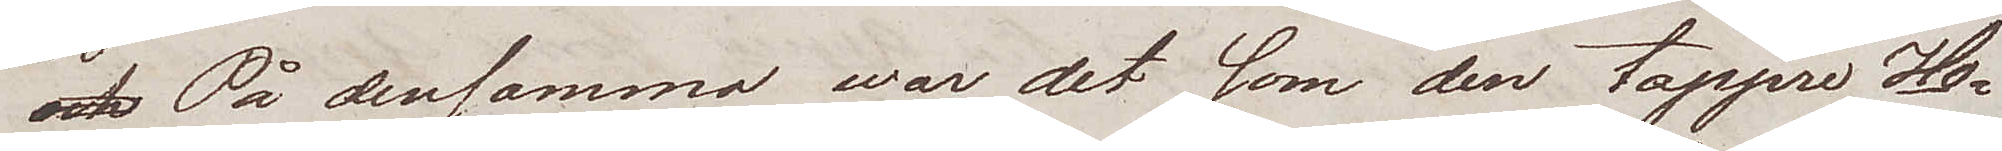På densamma war det som den tappre Ho¬
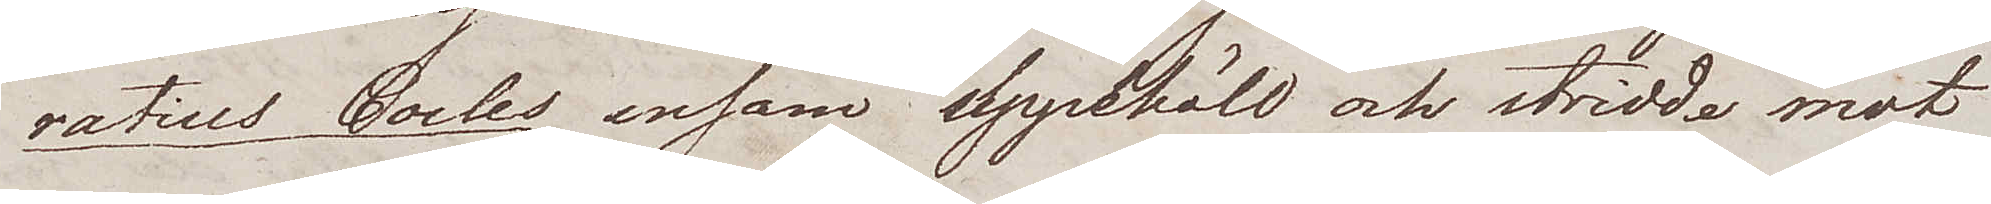ratius Cocles ensam uppehöll och stridde mot
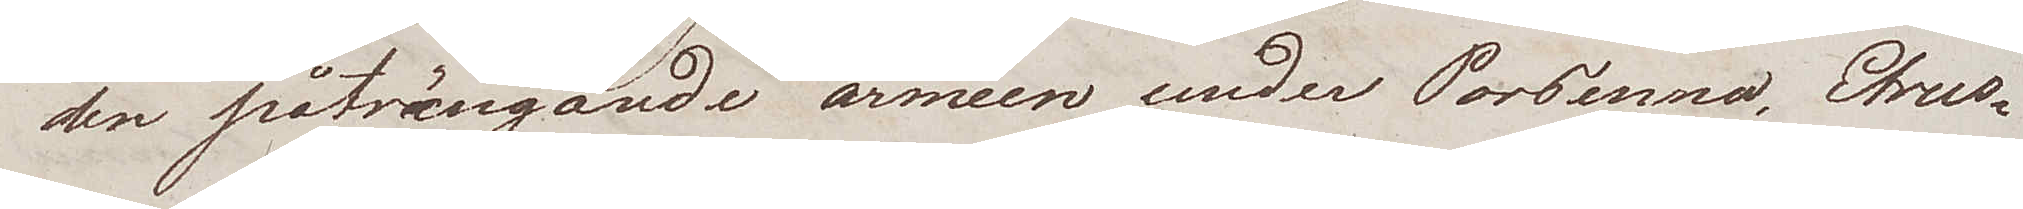den påträngande armeen under Porsenna, Etrus¬
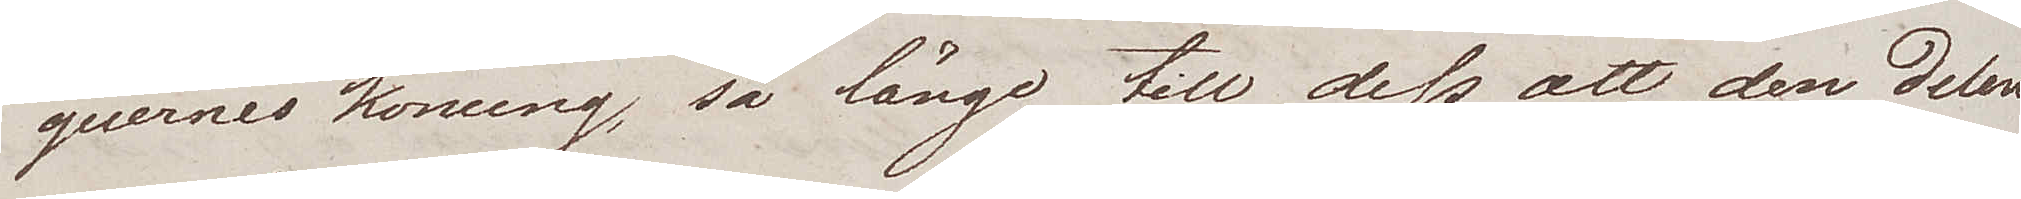quernes konung, så länge till dess att den delen
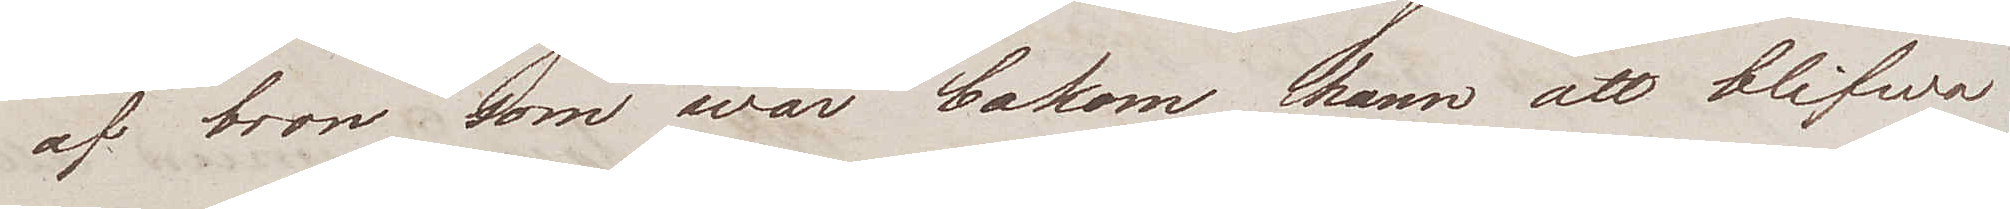af bron som war bakom, hann att blifwa
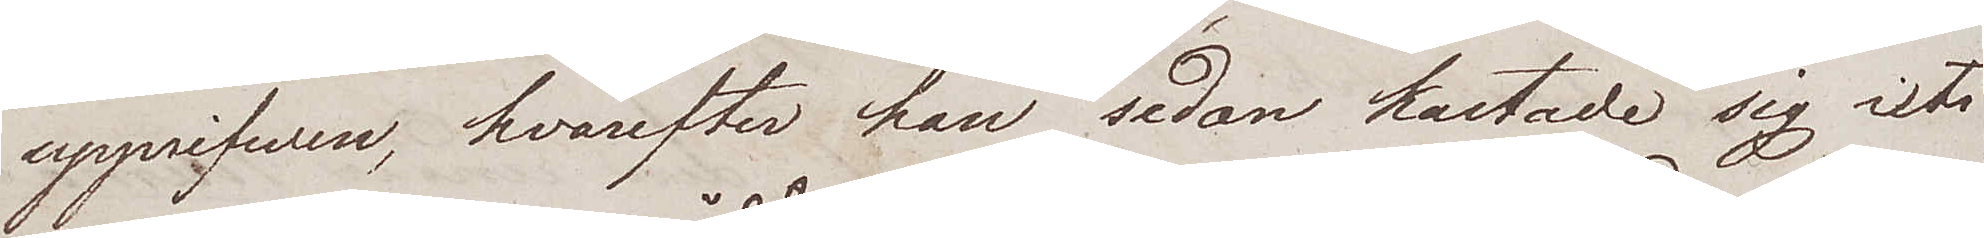upprifwen, hvarefter han sedan kastade sig uti
